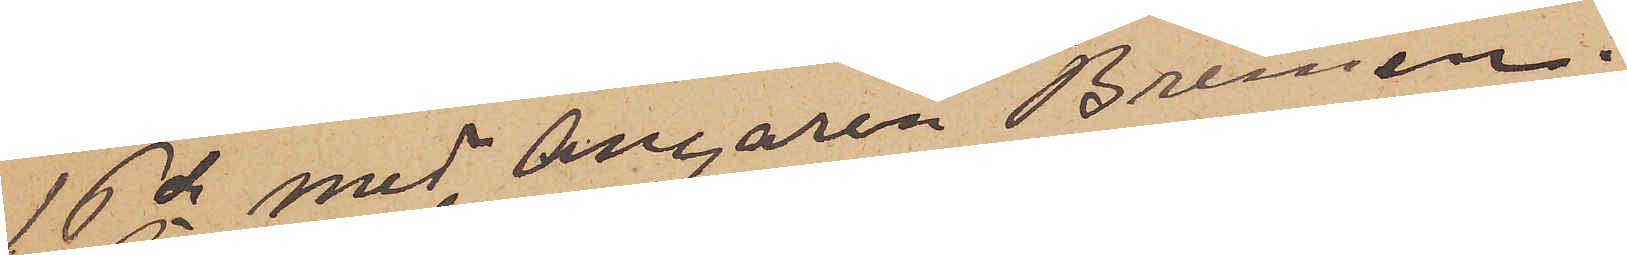16de med Ångaren Bremen.
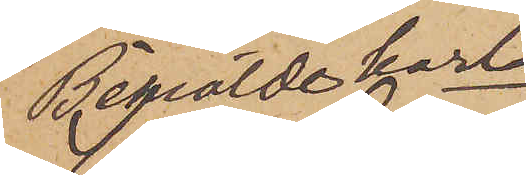Bemälde karl
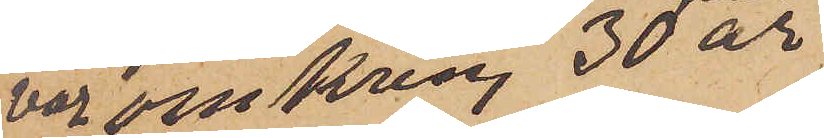var omkring 30 år
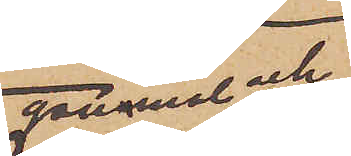gammal och
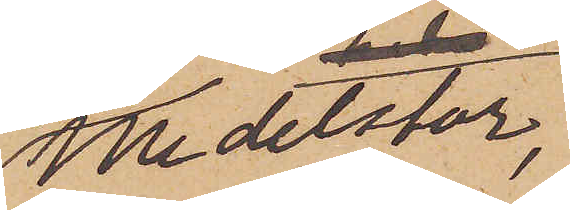medelstor,
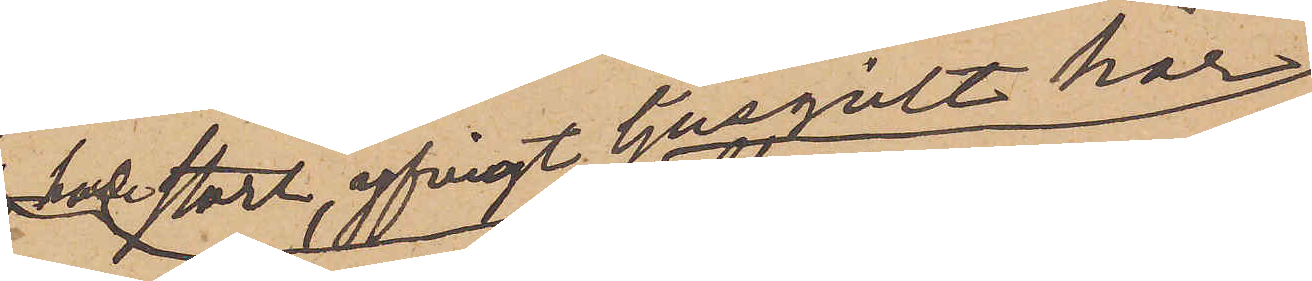hade stort, yfvigt ljusgult hår
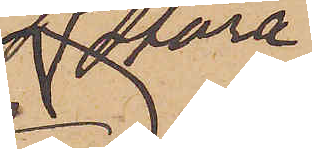stora
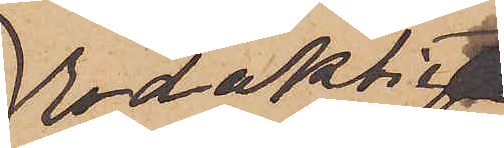Rödaktiga
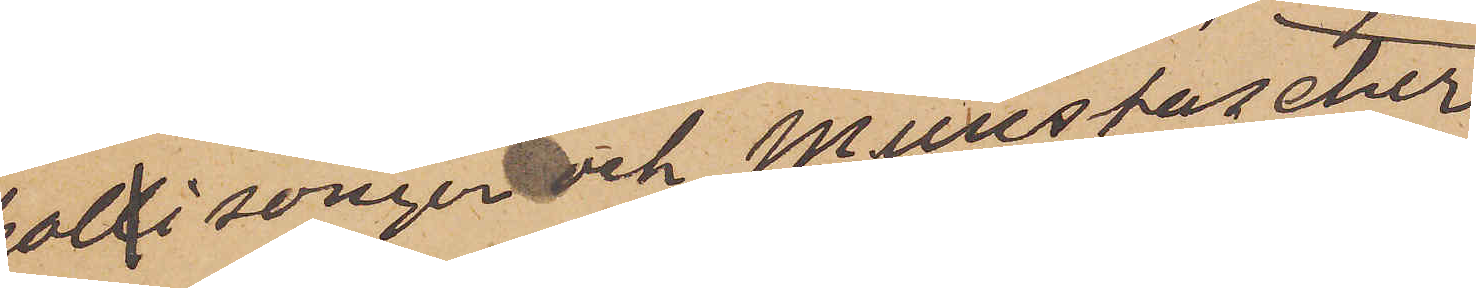pollisonger och Munstascher,
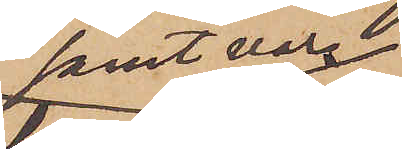samt var
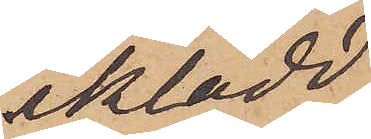iklädd
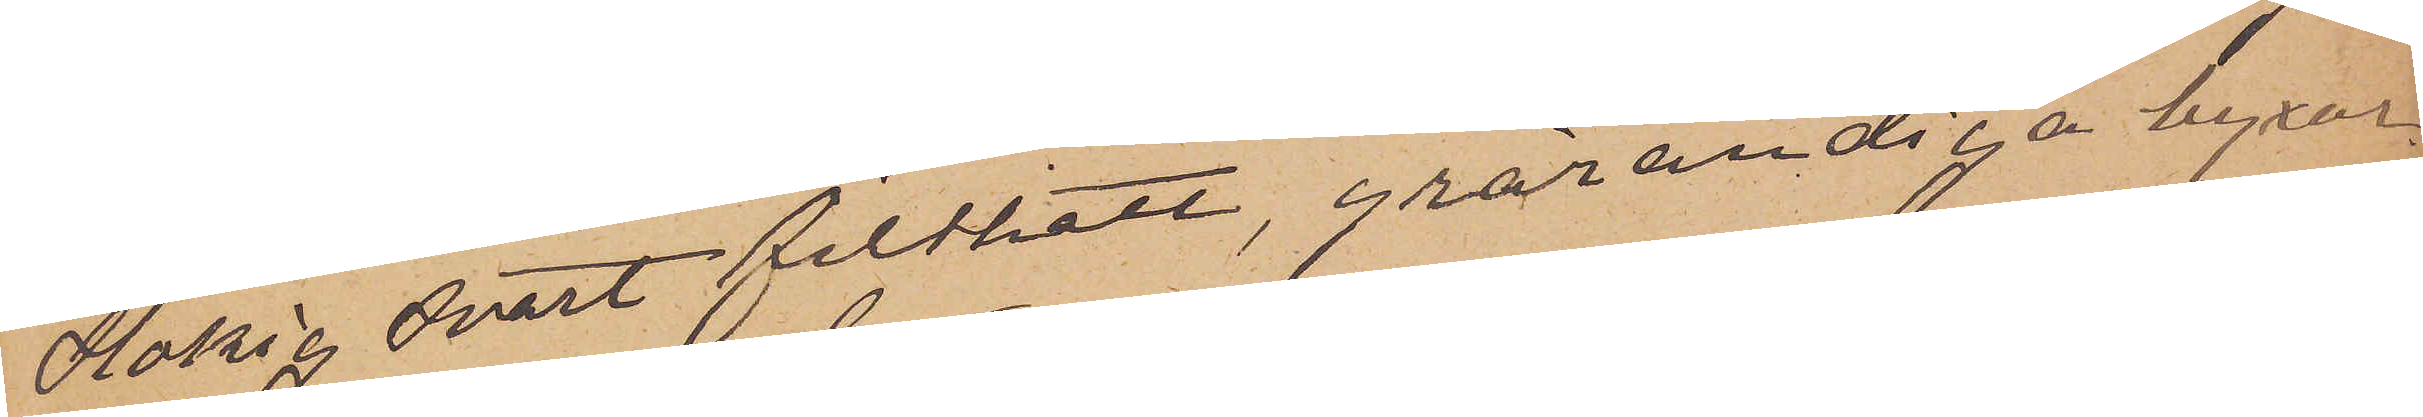slokig svart filthatt, grårandiga byxor,
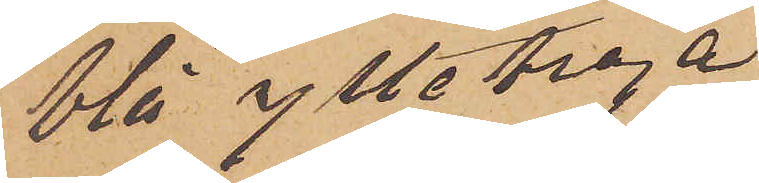blå ylletröja
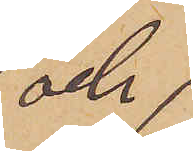och
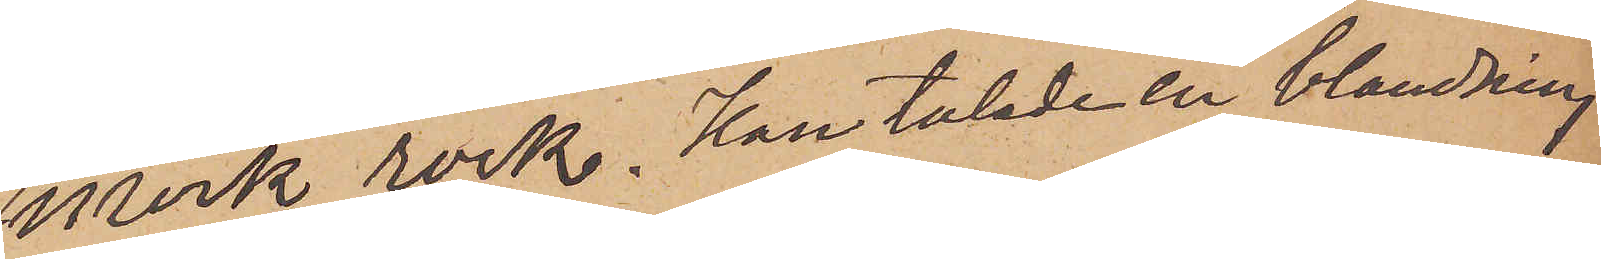mörk rock. Han talade en blandning
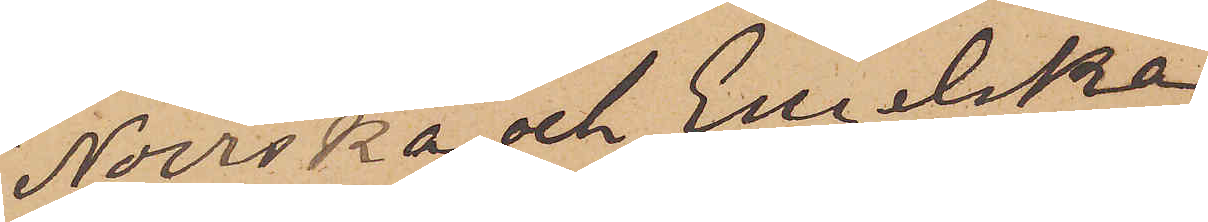Norska och Engelska.
